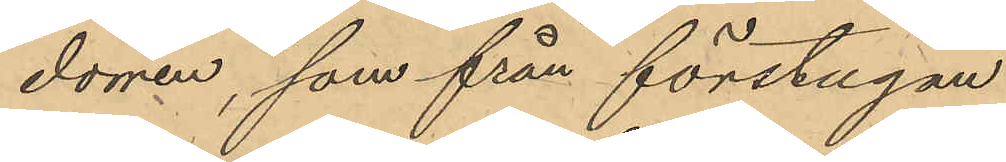dörren, som från förstugan
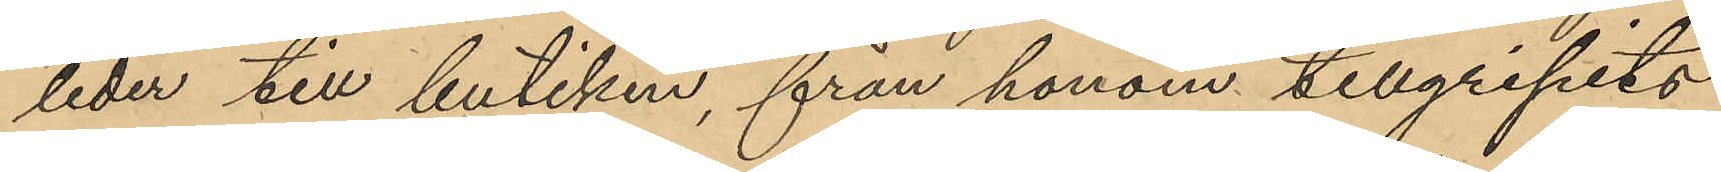leder till butiken, från honom tillgripits
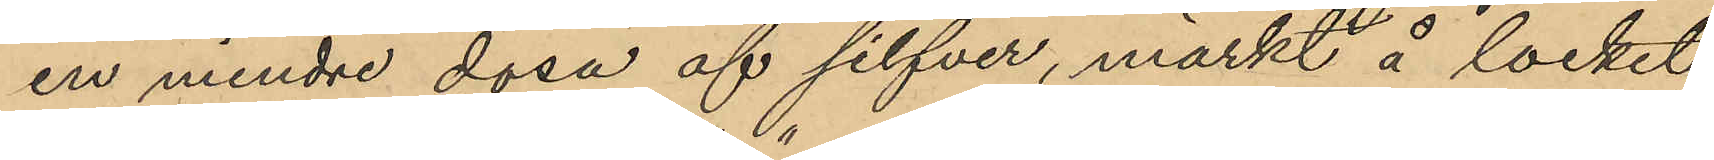en mindre dosa af silfver, märkt å locket
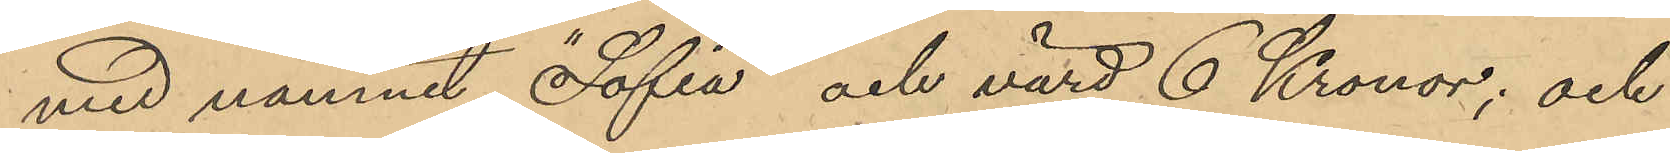med namnet "Sofia" och värd 6 Kronor; och
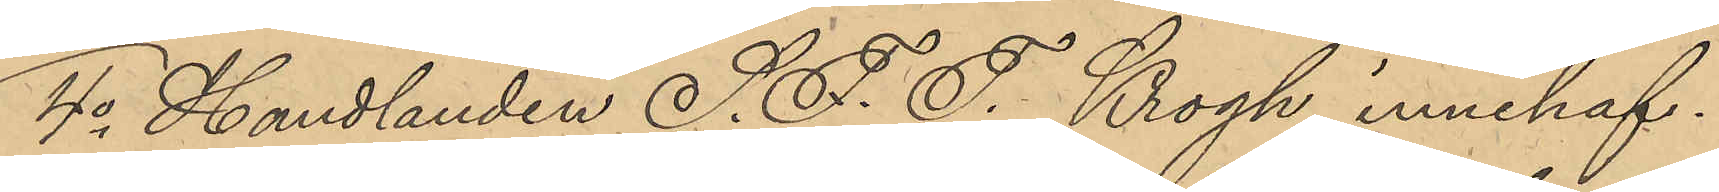4o Handlanden S. F. F. Krogh innehaf¬
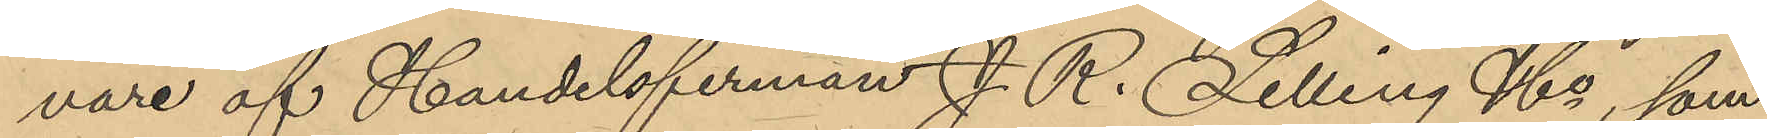vare af Handelsfirman J. R. Lelling & Co, som
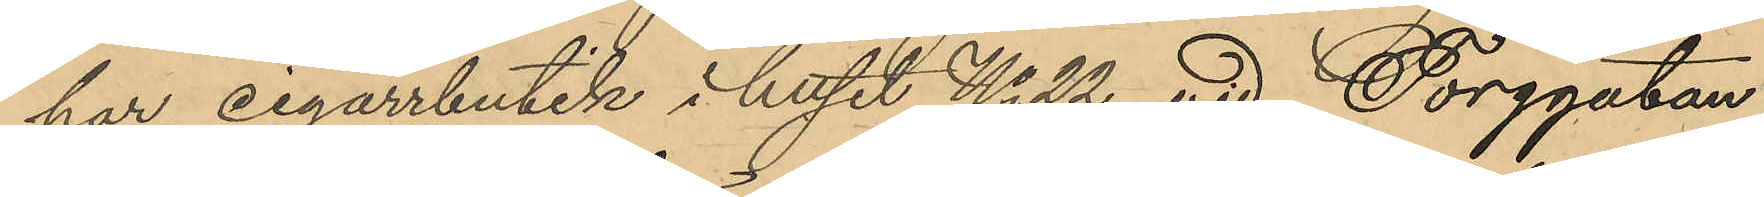har cigarrbutik i huset No 22 vid Torggatan:
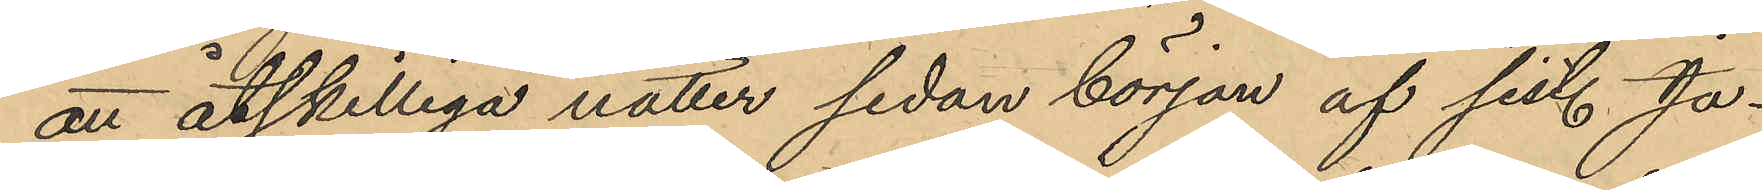att åtskilliga nätter sedan början af sist. Ja¬
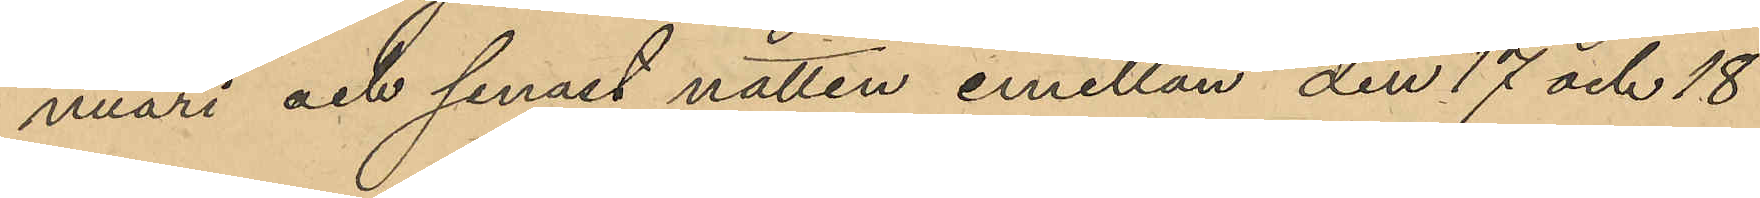nuari och senast natten emellan den 17 och 18
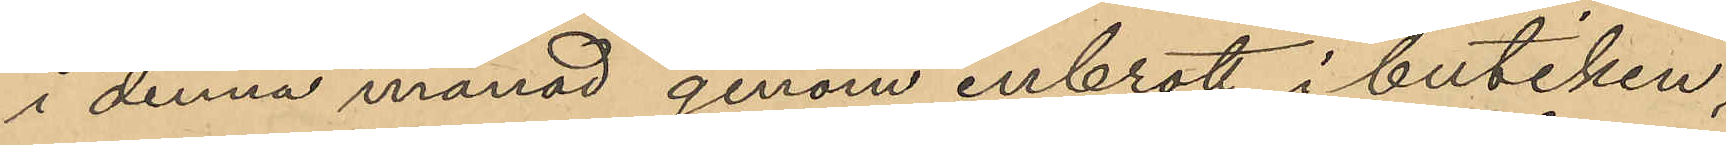i denna månad genom inbrott i butiken,
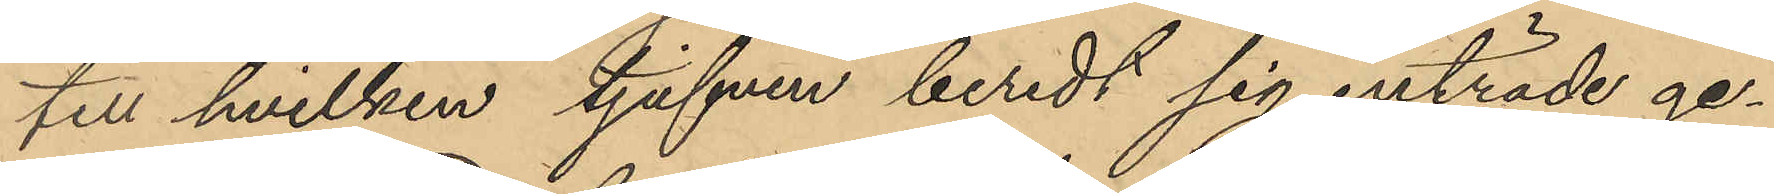till hvilken tjufven beredt sig inträde ge¬
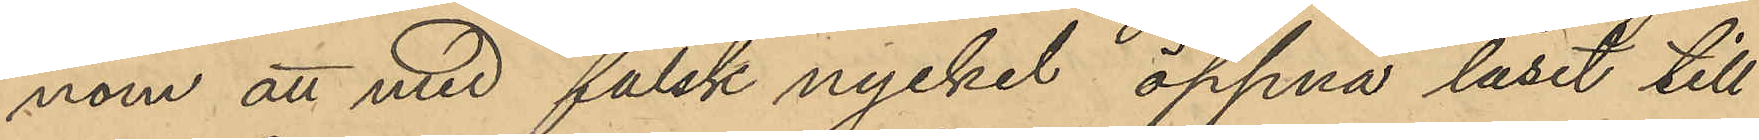nom att med falsk nyckel öppna låset till
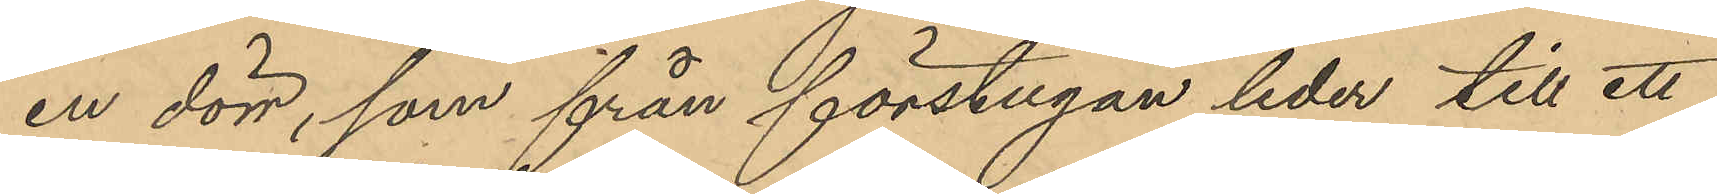en dörr, som från förstugan leder till ett
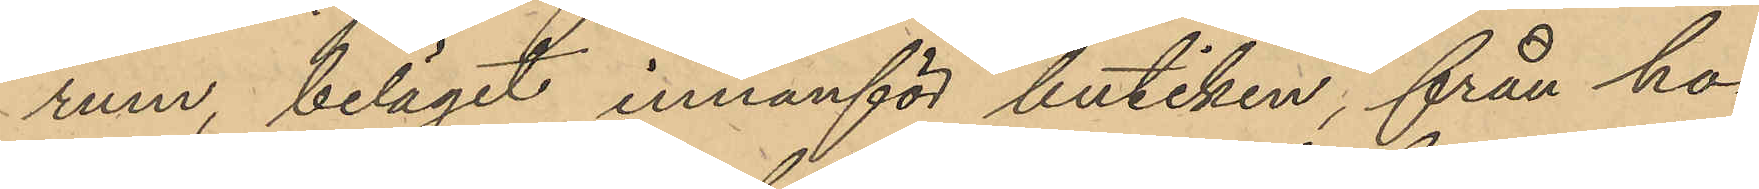rum, beläget innanför butiken, från ho¬
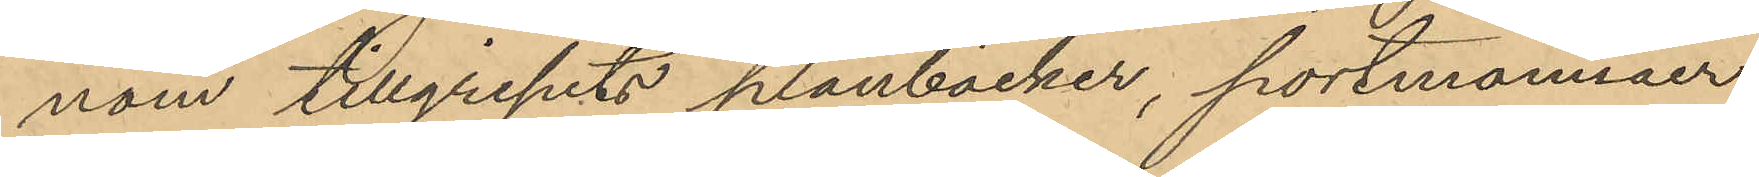nom tillgripits plånböcker, portmonnäer,
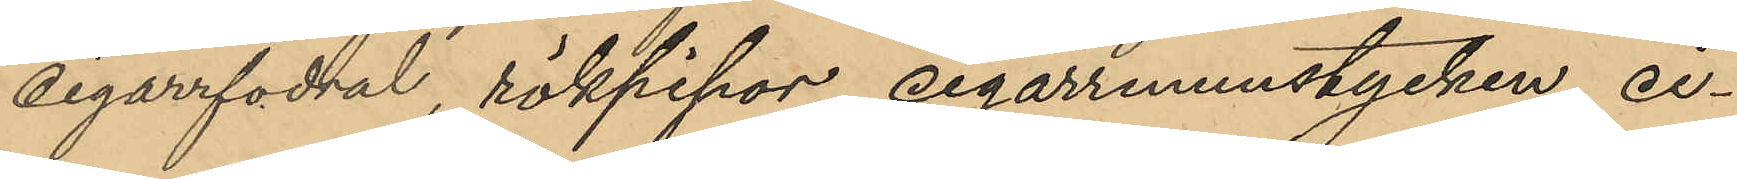cigarrfodral, rökpipor cigarrmunstycken, ci¬
